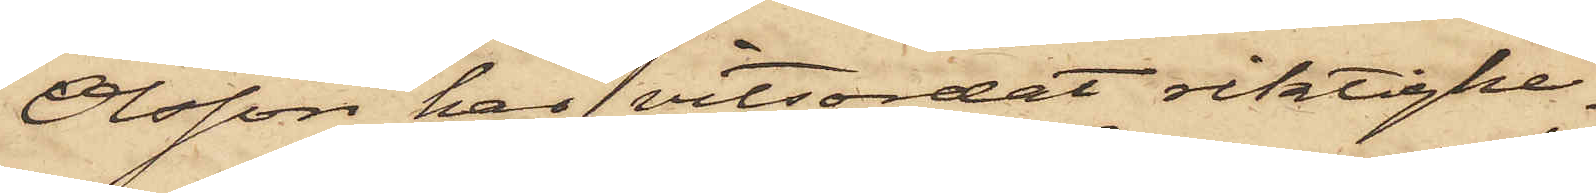Olsson har vitsordat riktighe¬
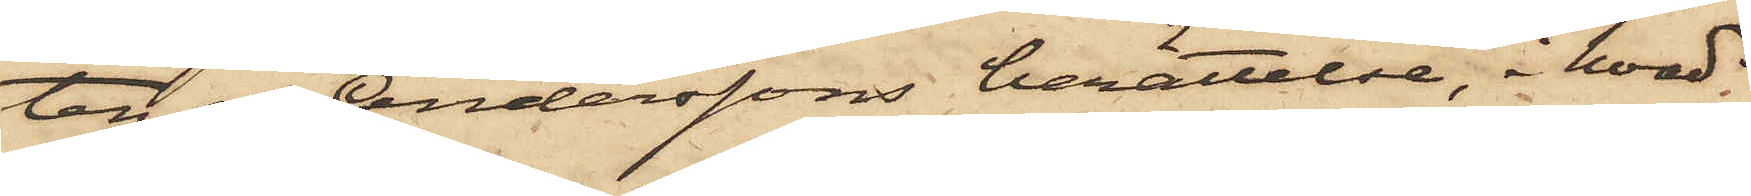ten af Anderssons berättelse, i hvad
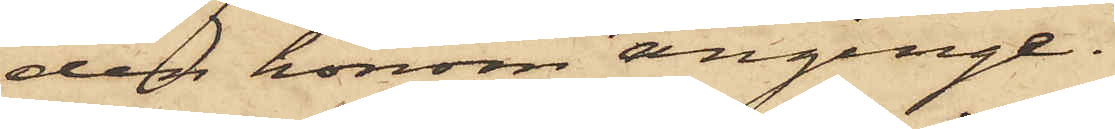den honom anginge.
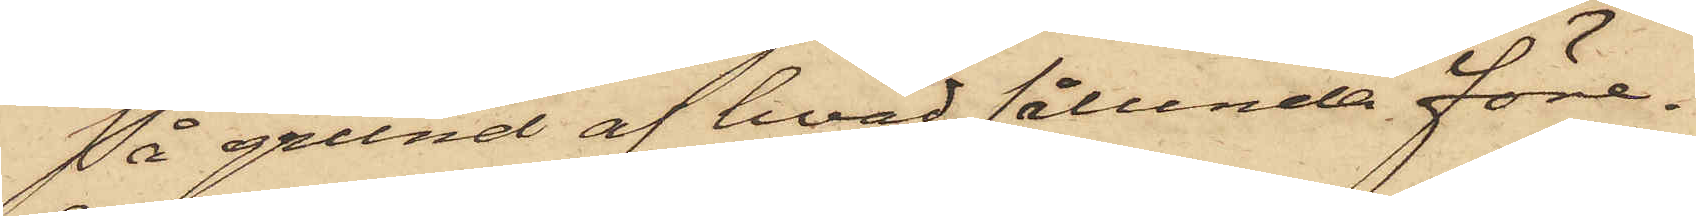På grund af hvad sålunda före¬
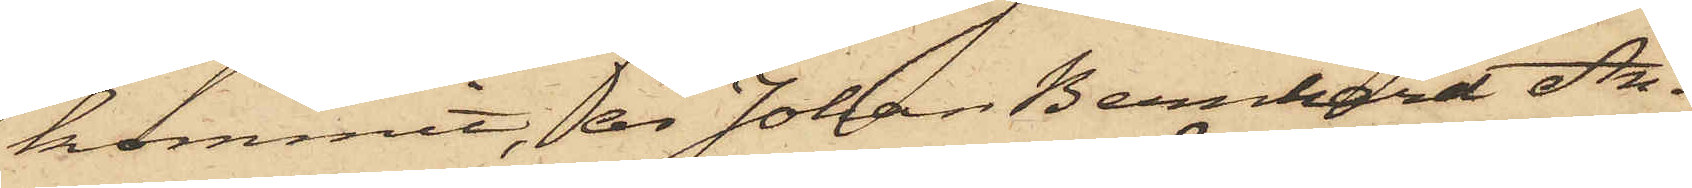kommit, är Johan Bernhard An¬
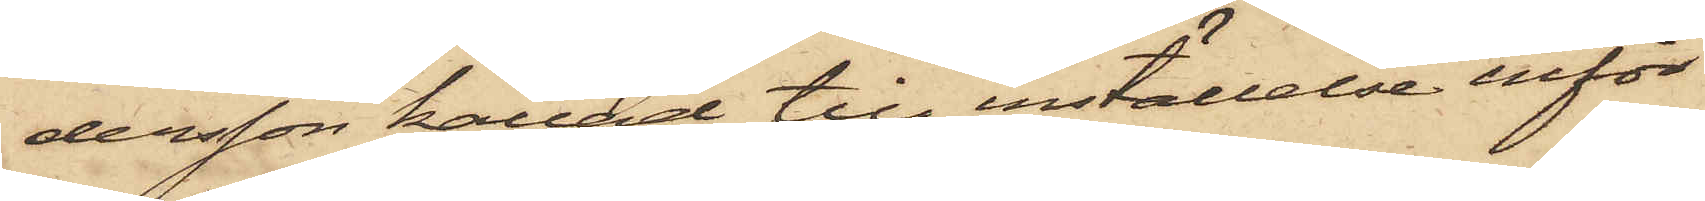dersson kallad till inställelse inför
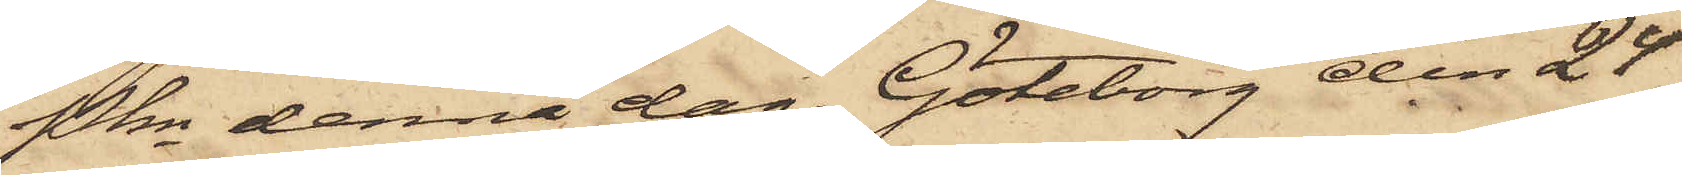Pkn denna dag. Göteborg den 24
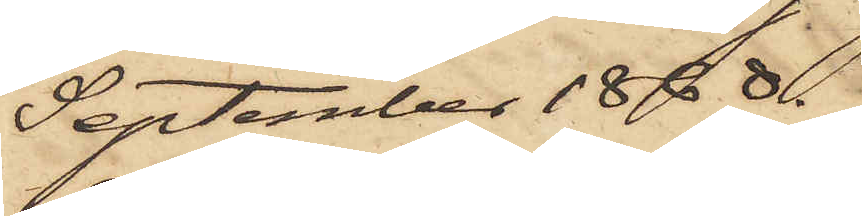September 1868.
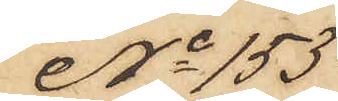No 153
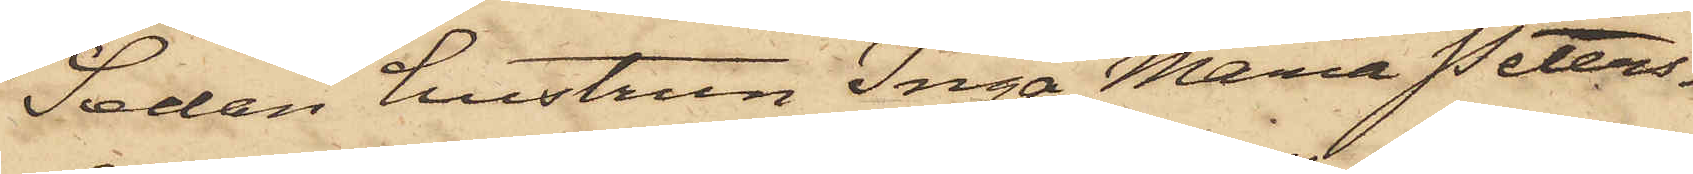Sedan hustrun Inga Maria Peters¬
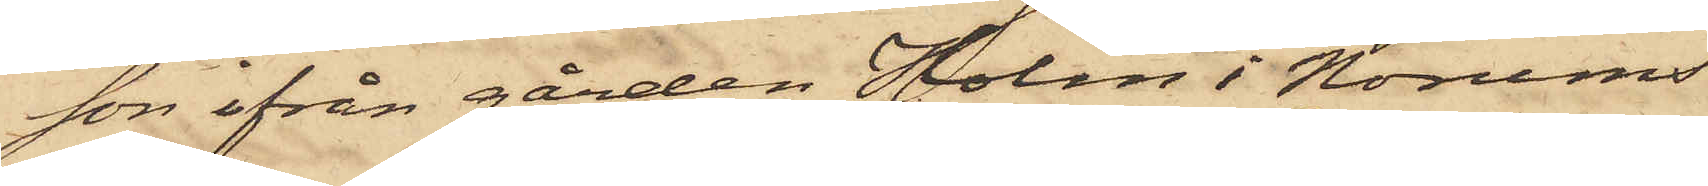son ifrån gården Holm i Norums
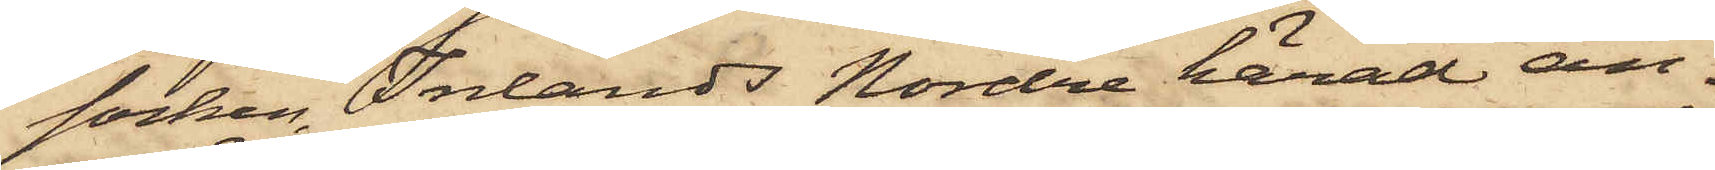socken, Inlands Nordre härad an¬
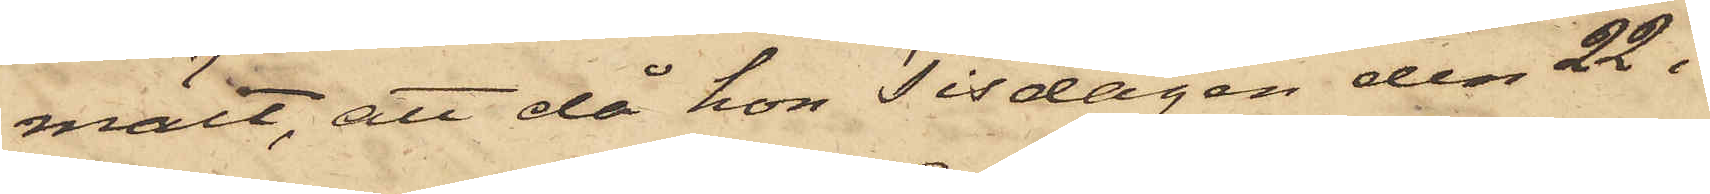mält, att då hon Tisdagen den 22 i
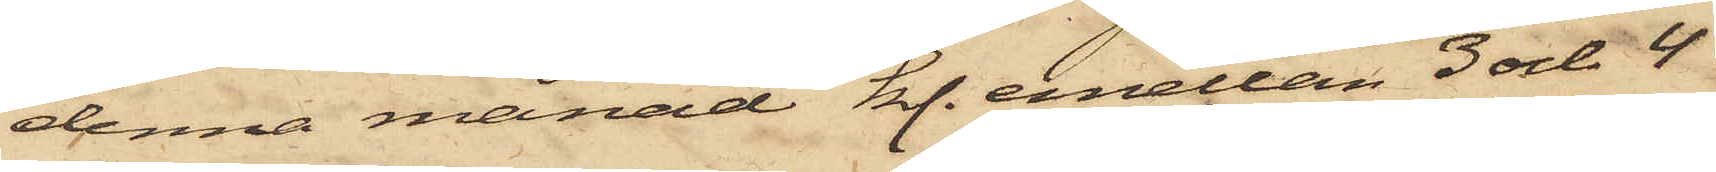denna månad kl. emellan 3 och 4
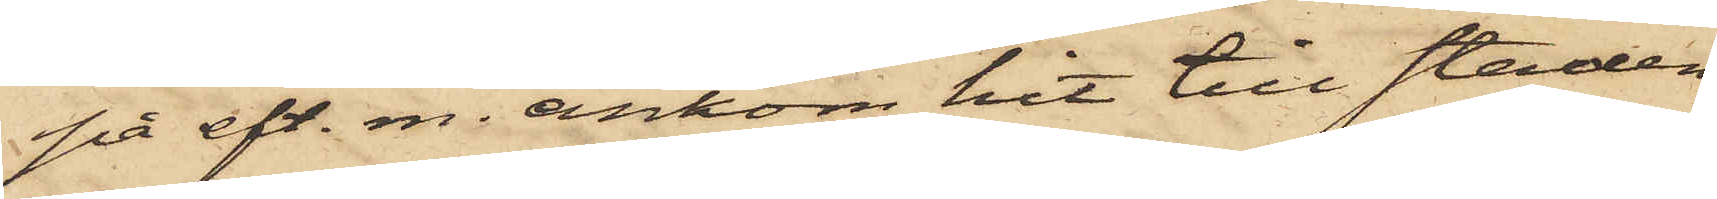på eft. m. ankom hit till staden
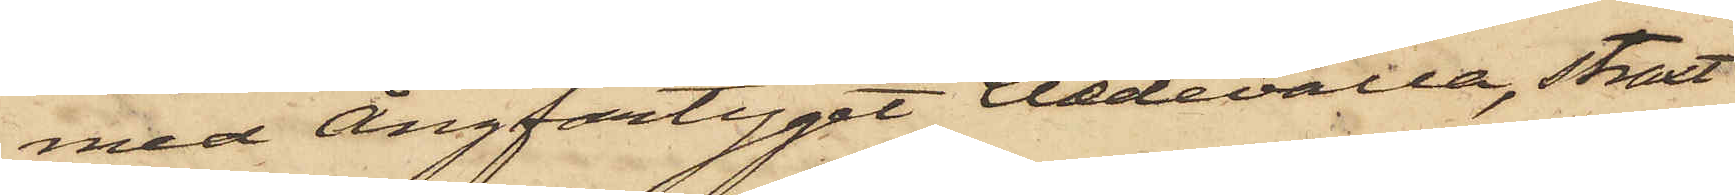med Ångfartyget Uddevalla, straxt
